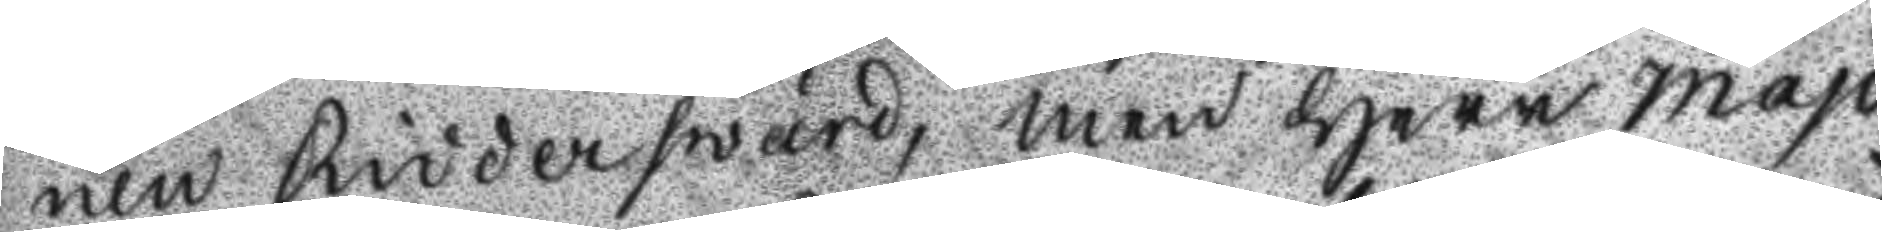nen Ridderswärd, men Herr majo
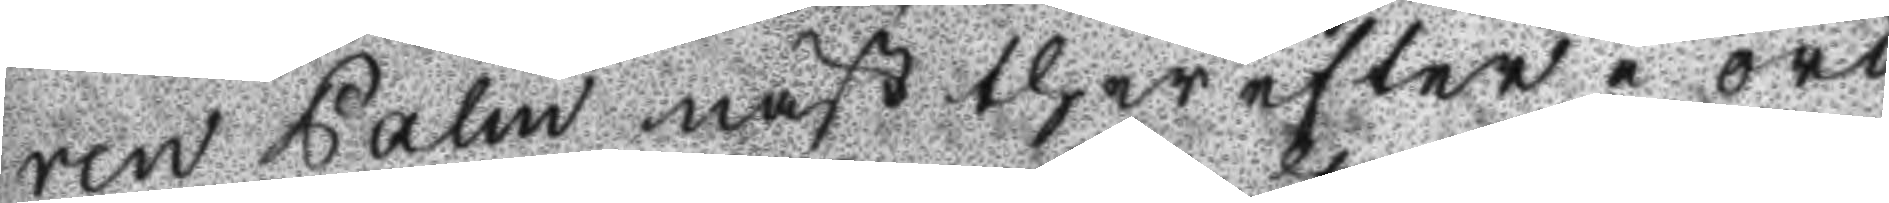ren Palm näst ther efter i ord
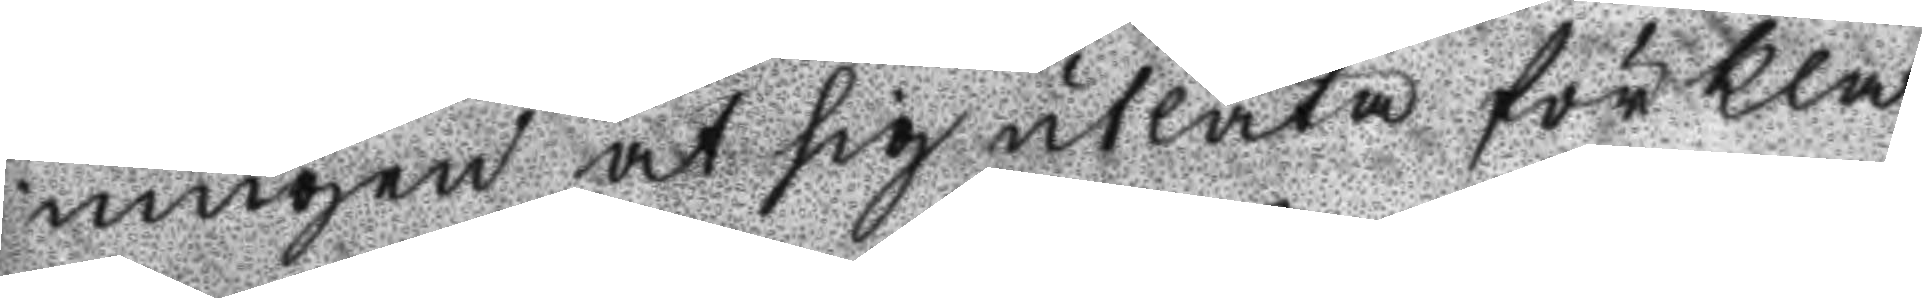ningen at sig utlåta förkla
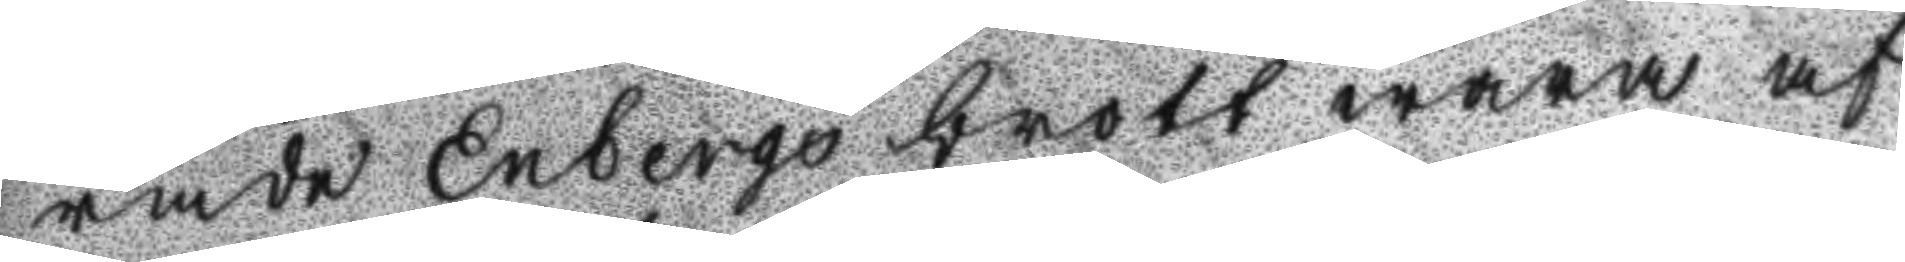rade Enbergs brott wara af
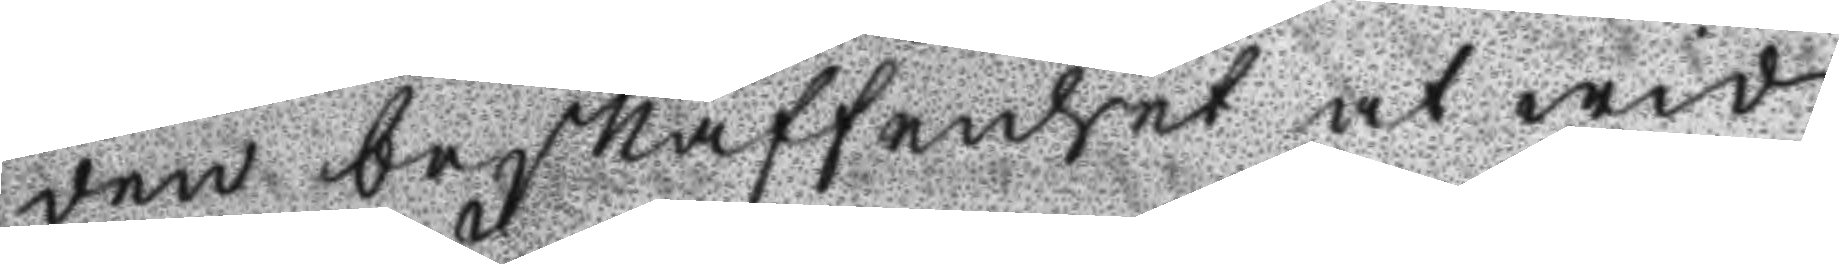den beskaffenheten at wid
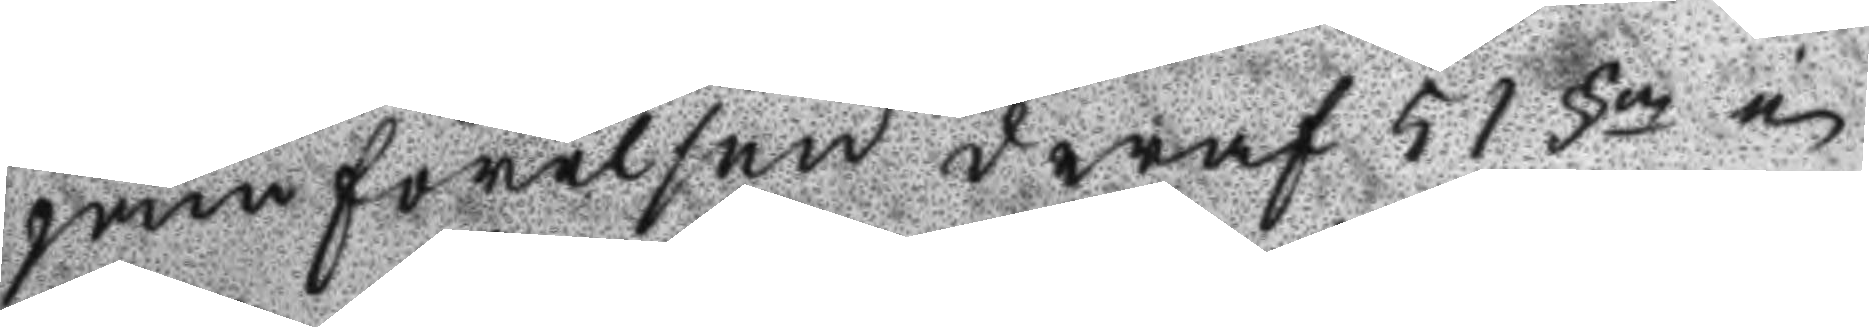jämförelsen deraf 51 §en i
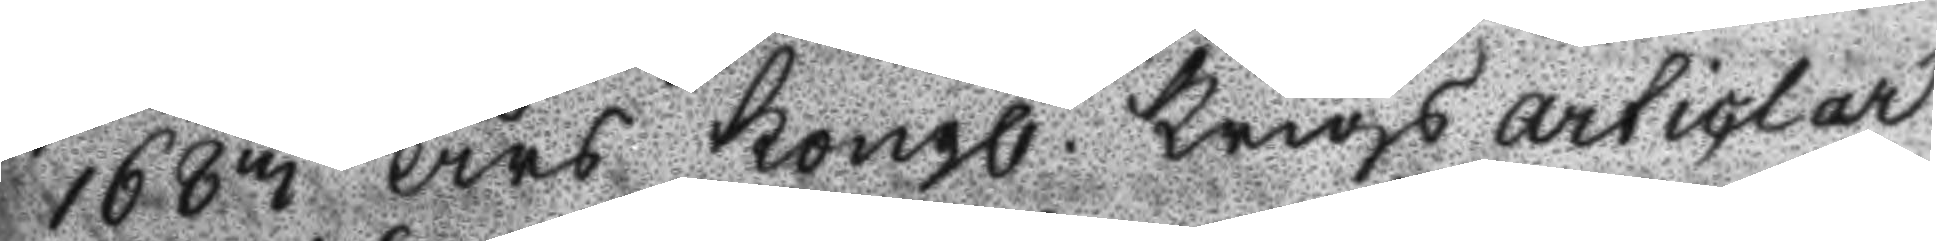1683 års Kongl. Krigs articlar
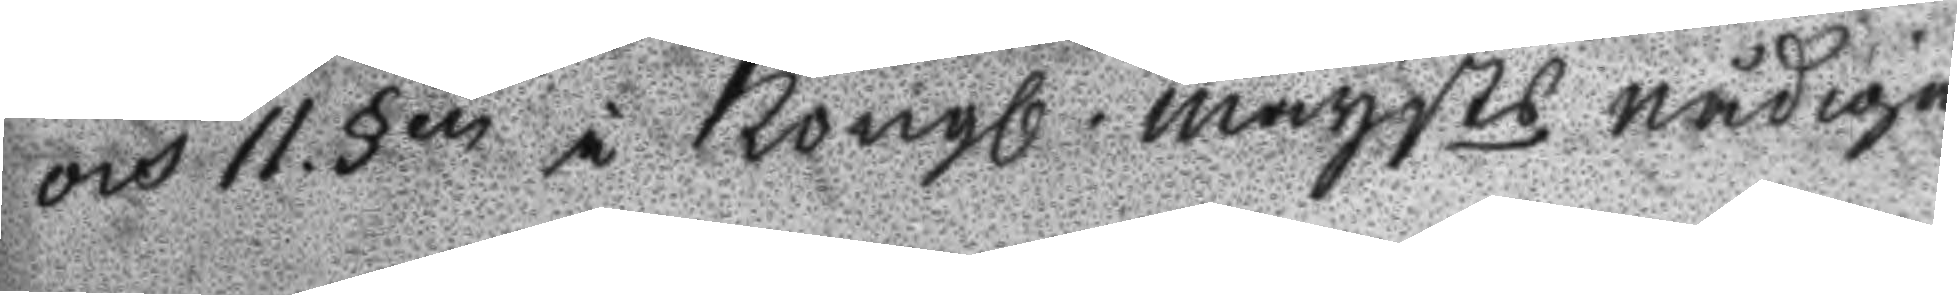och 11 §en i Kongl. maysts nådige
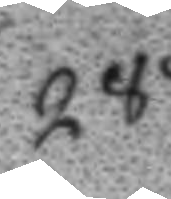288.
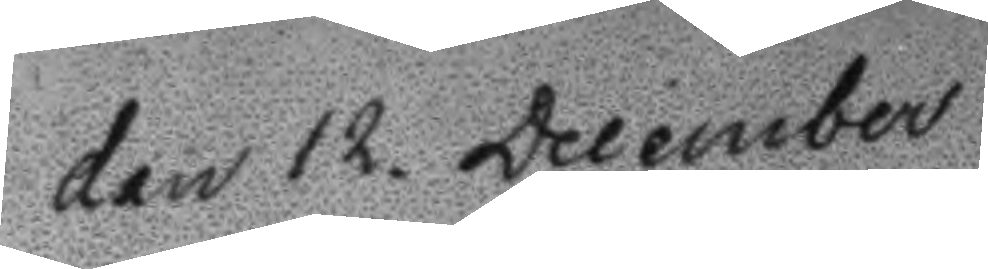Den 12. December
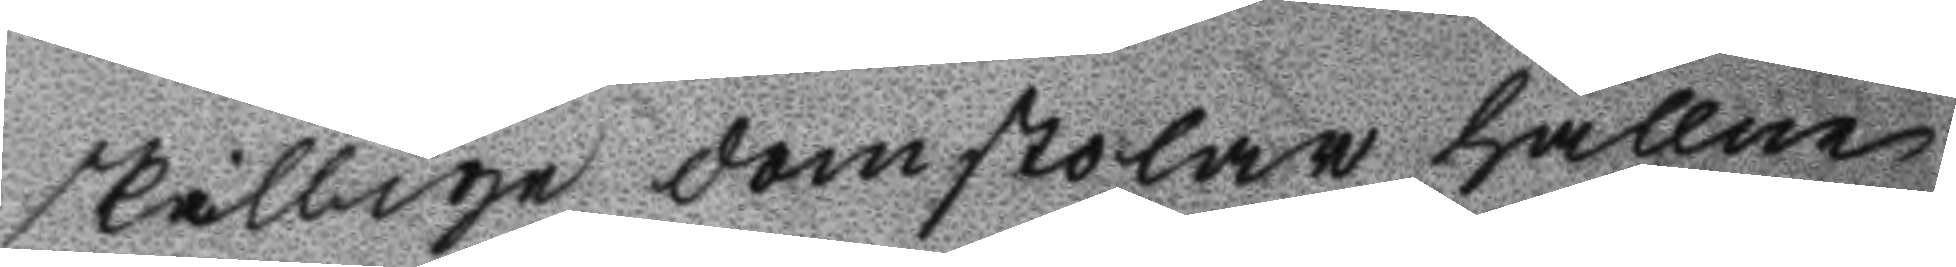skillige domstolar hållne
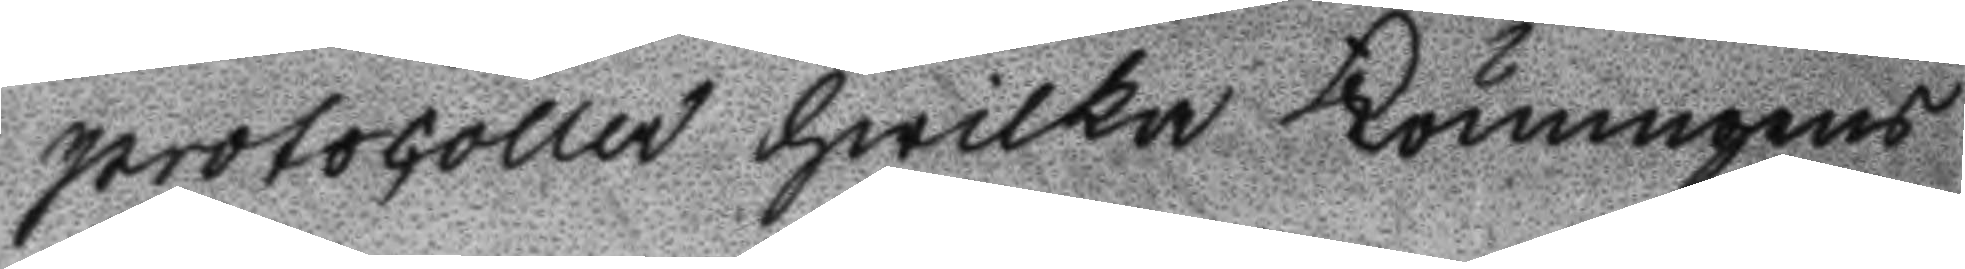protocoller hwilka Konungens
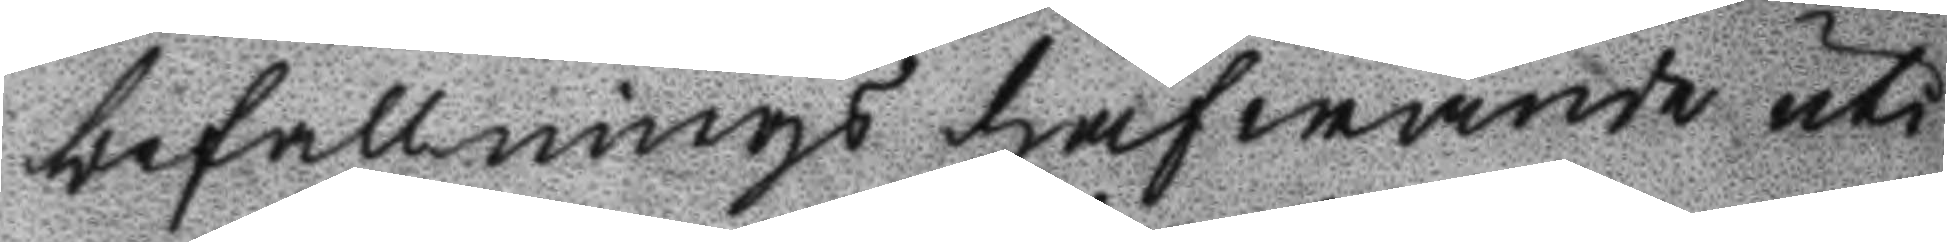befallnings hafwande uti
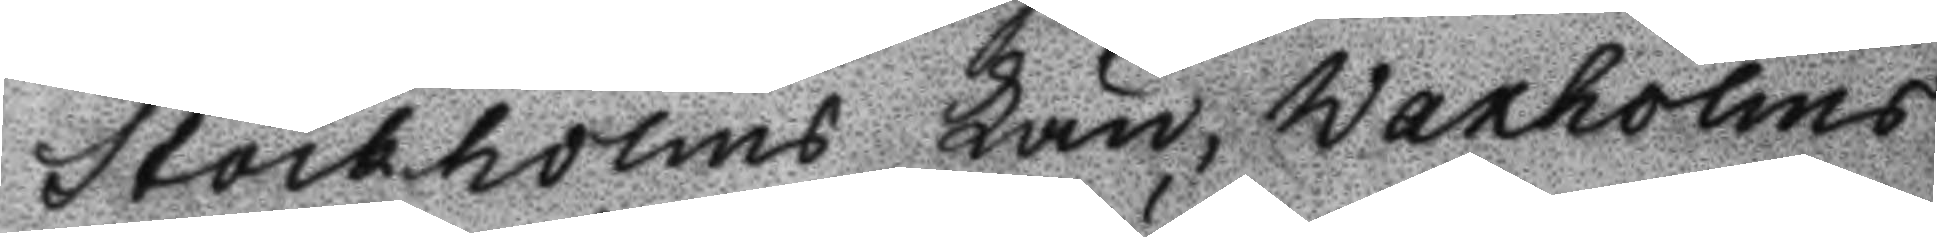Stockholms Län, Waxholms
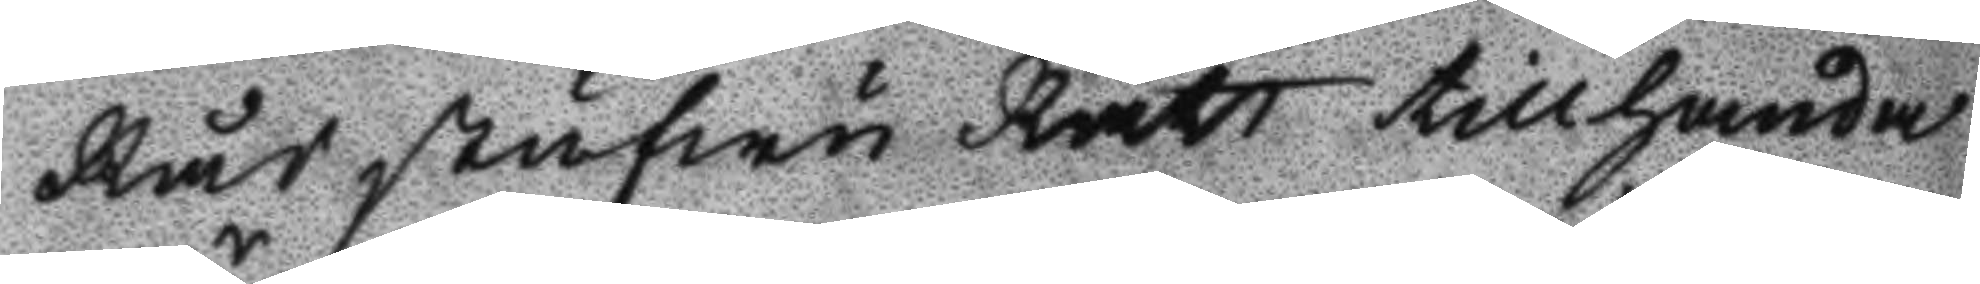Rådstufwu Rätt tillhanda
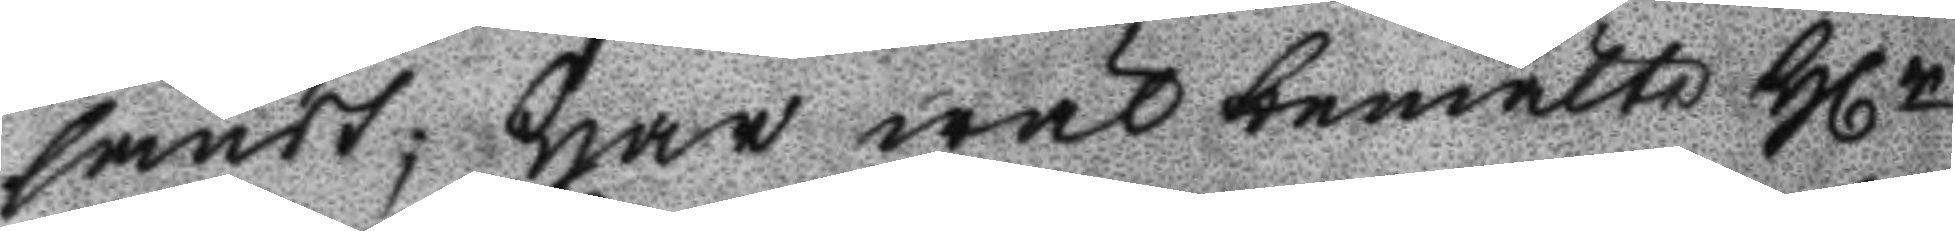sändt; Har wäl bemälte Hlr
